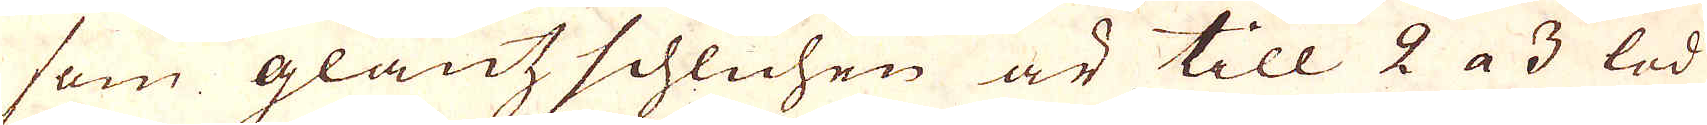som glantz schlichen är till 2 a 3 lod
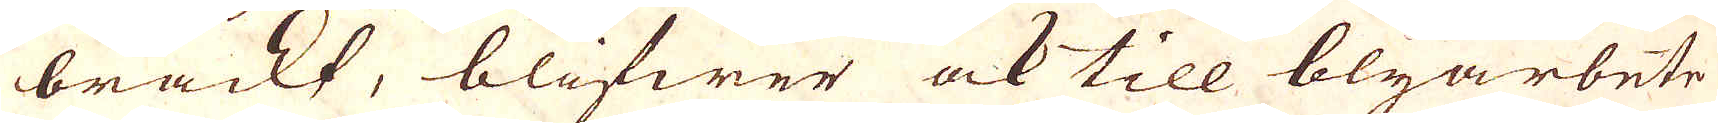brackt, blifwer ock till blyarbete
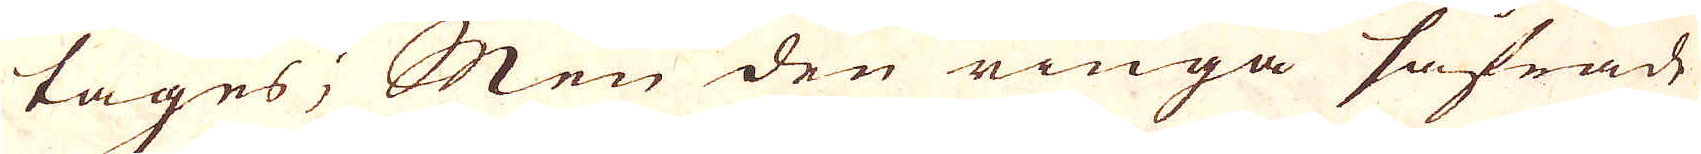tages; Men den ringa såfrade
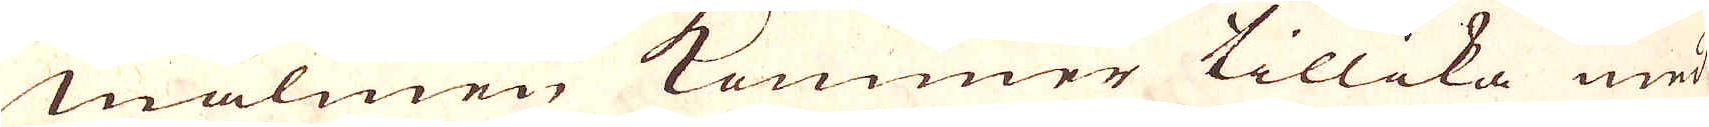malmen kommer tillika med
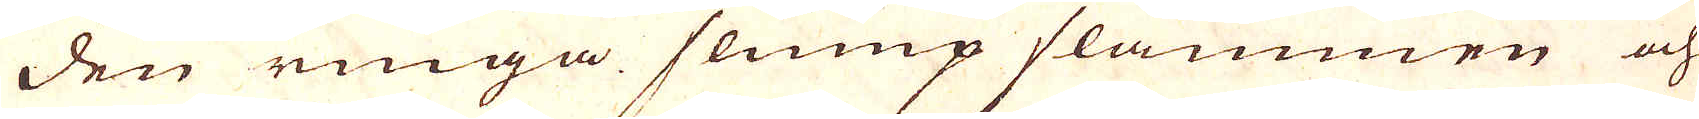den ringa slump slammen och
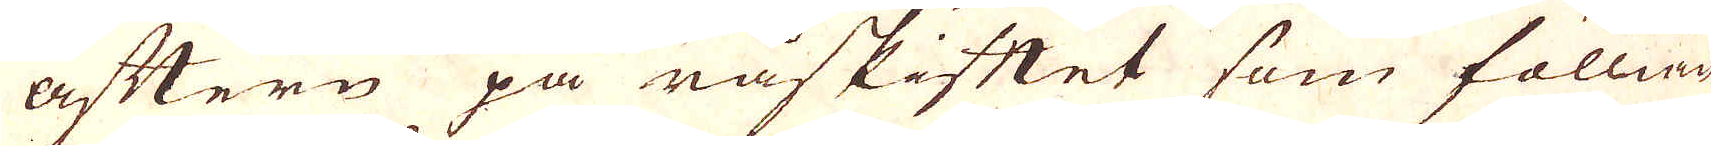aftern på råskiftet som föllian-
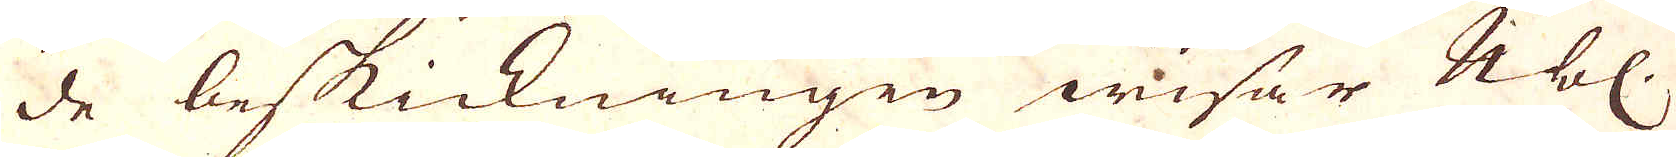de beskickningen wisar Nbl.
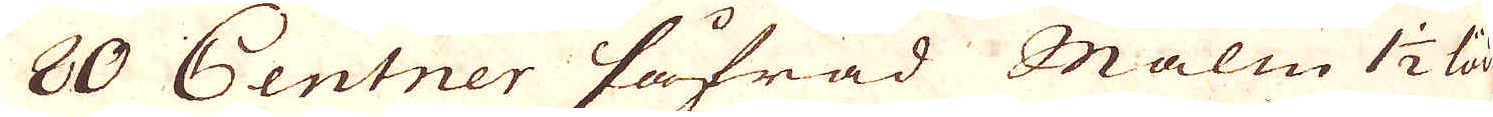80 Centner Såfrad Malm 1 1/2 lod
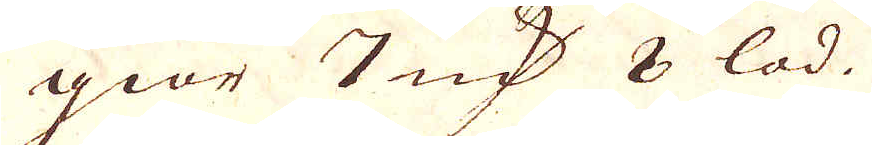giör 7 qv:r 8 lod.
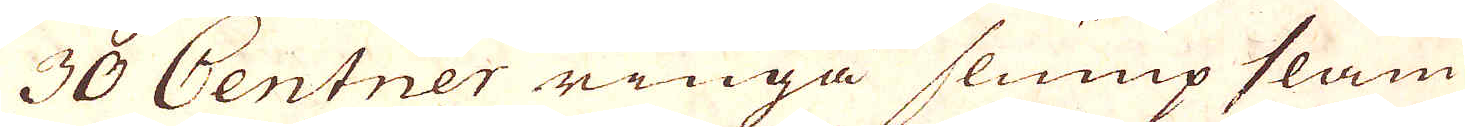30 Centner ringa slump slam
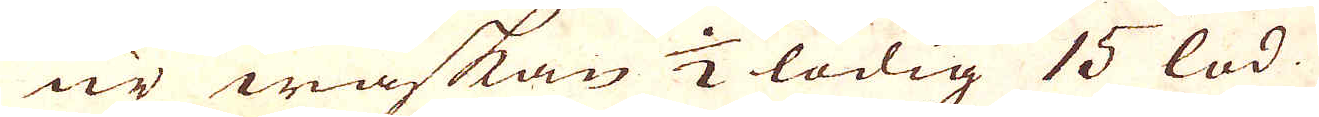är wäskan 1/2 lödig 15 lod.
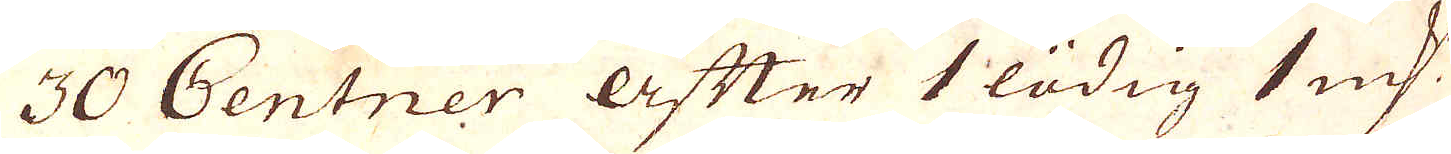30 Centner äfter 1 lödig 1 qv:r
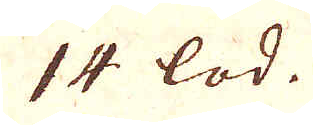14 lod.
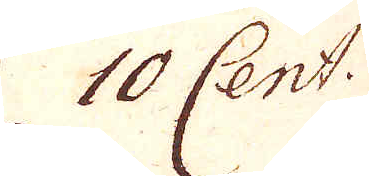10 Cent.
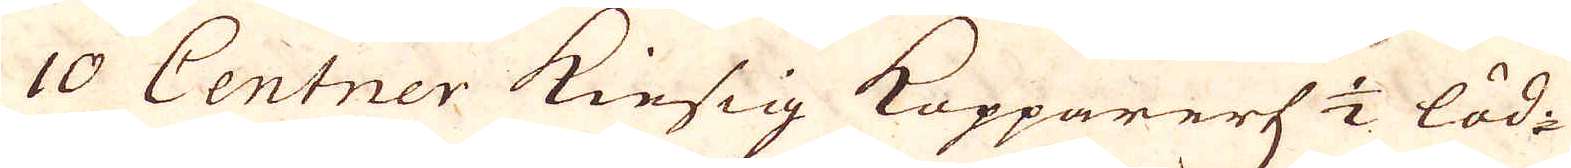10 Centner kiesig Kopparertz 1/2 löd.
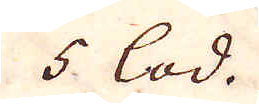5 lod.
